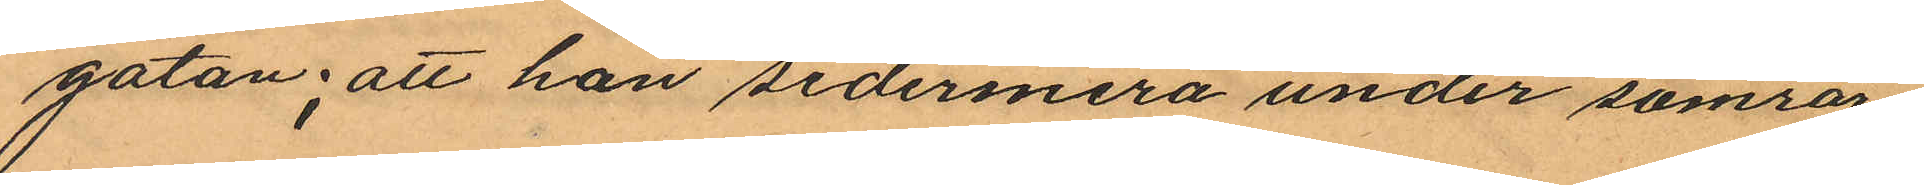gatan, att hon sedermera under somrar¬
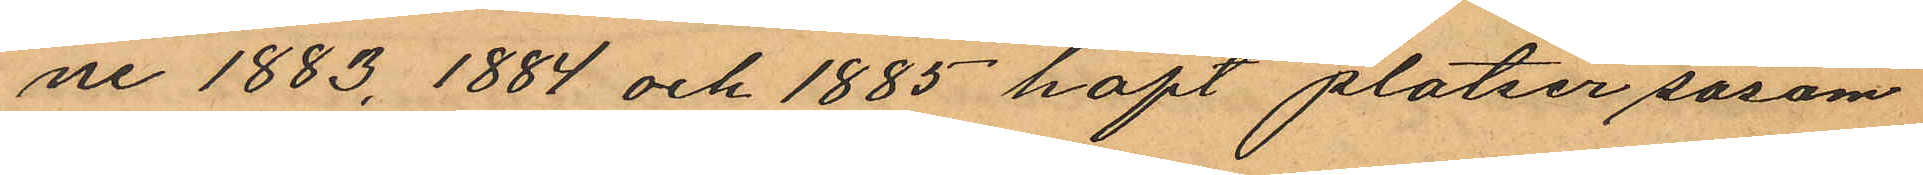ne 1883, 1884 och 1885 haft platser såsom
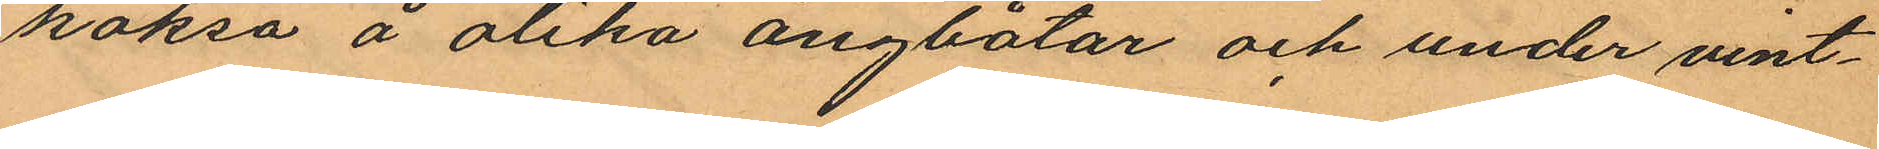köksa å olika ångbåtar och under vint¬
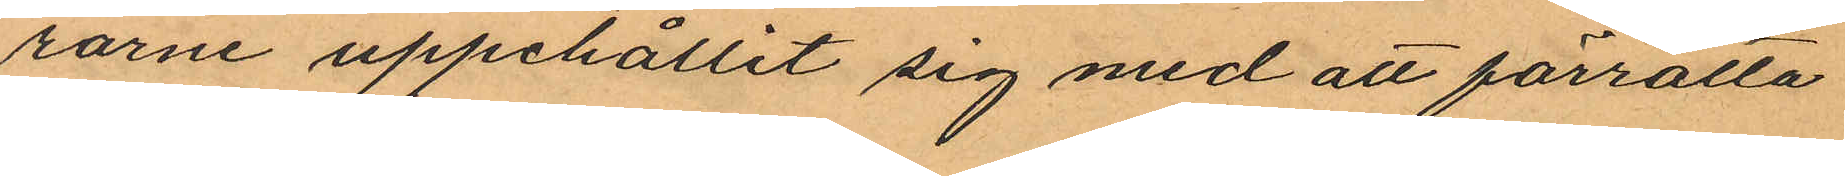rarne uppehållit sig med att förrätta
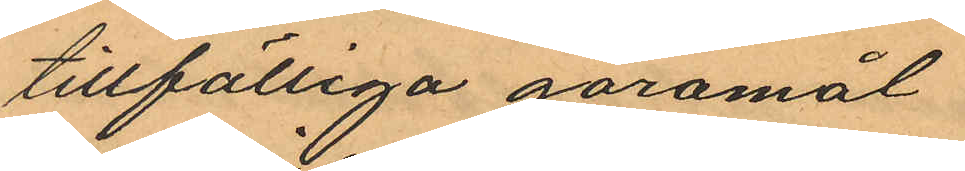tillfälliga göromål
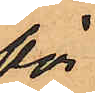för
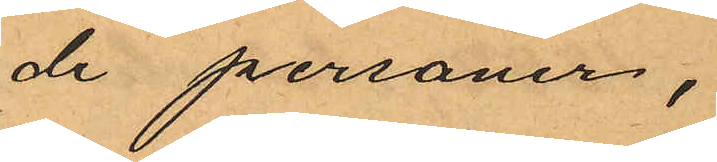de personer,
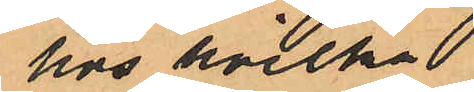hos hvilka
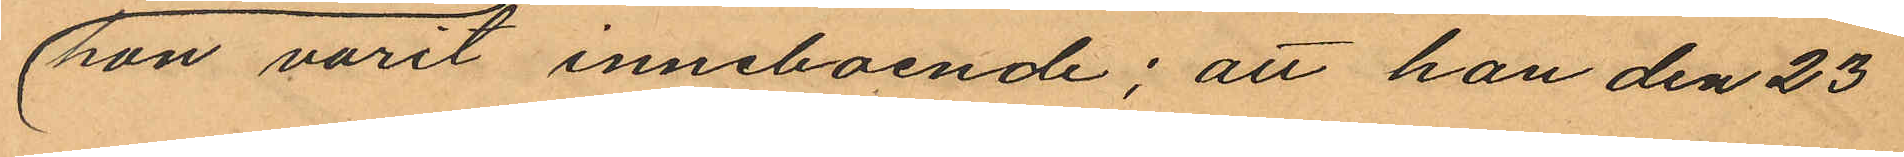hon varit inneboende; att hon den 23
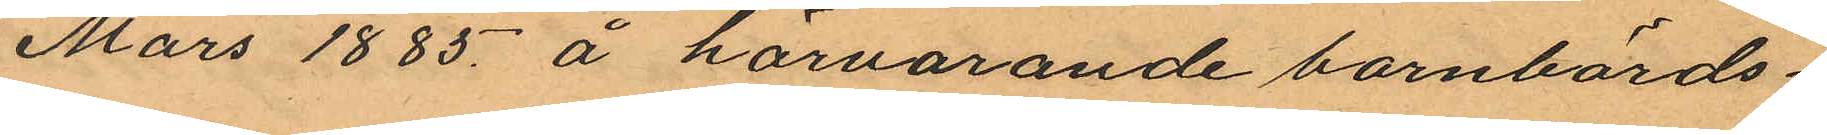Mars 1885 å härvarande barnbörds¬
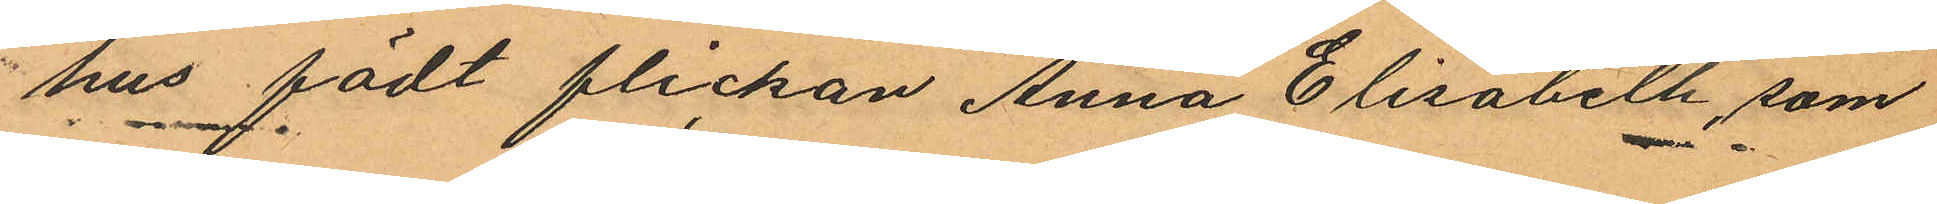hus födt flickan Anna Elisabeth, som
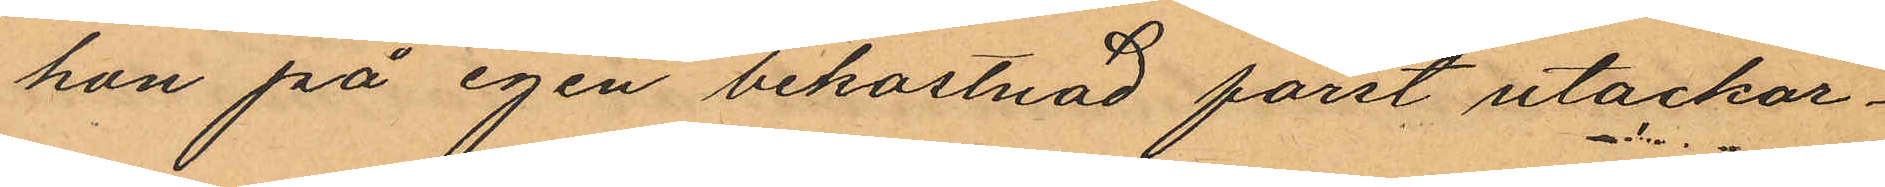hon på egen bekostnad först utackor¬
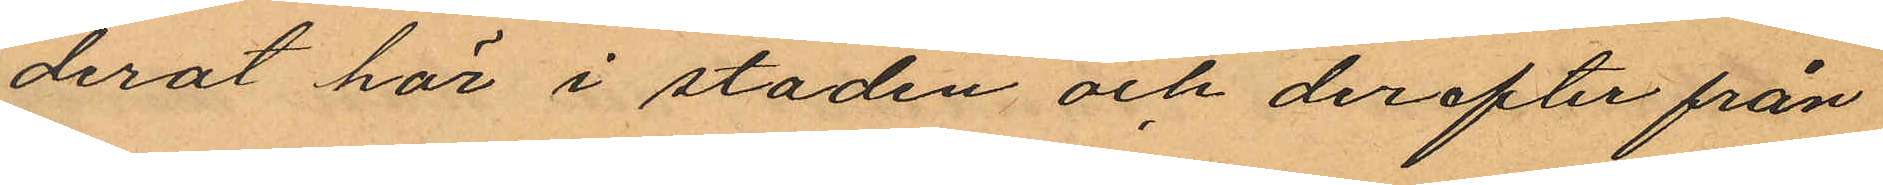derat här i staden och derefter från
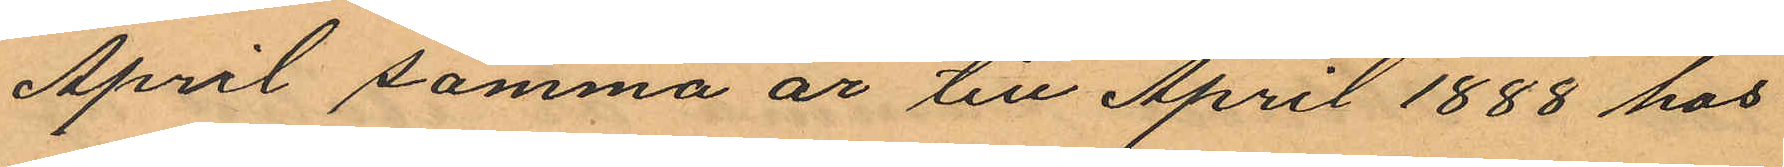April samma år till April 1888 hos
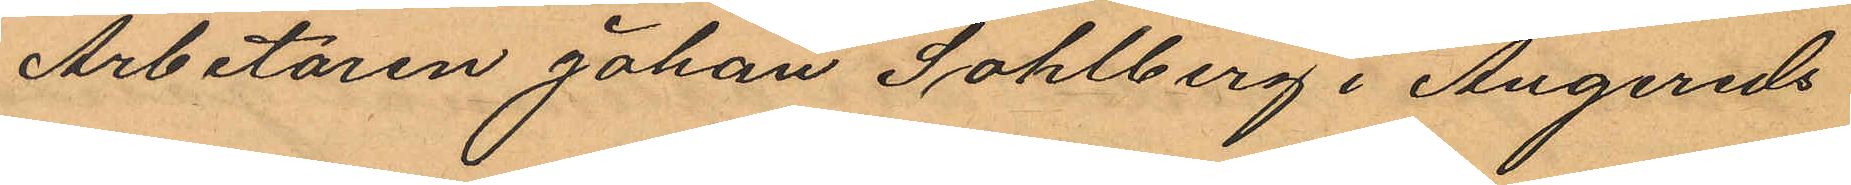Arbetaren Johan Sohlberg i Angereds
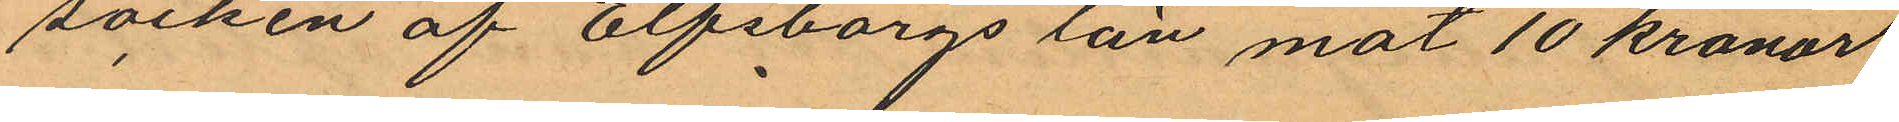socken af Elfsborgs län mot 10 kronor
